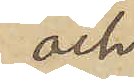och
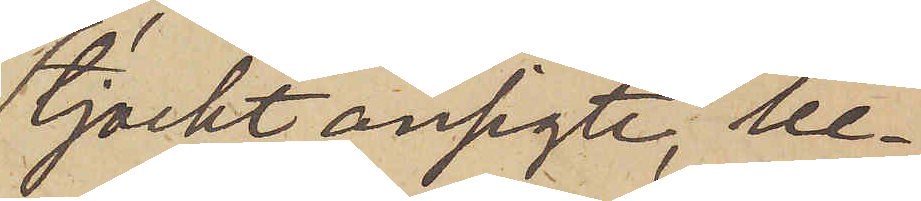tjockt ansigte, be¬
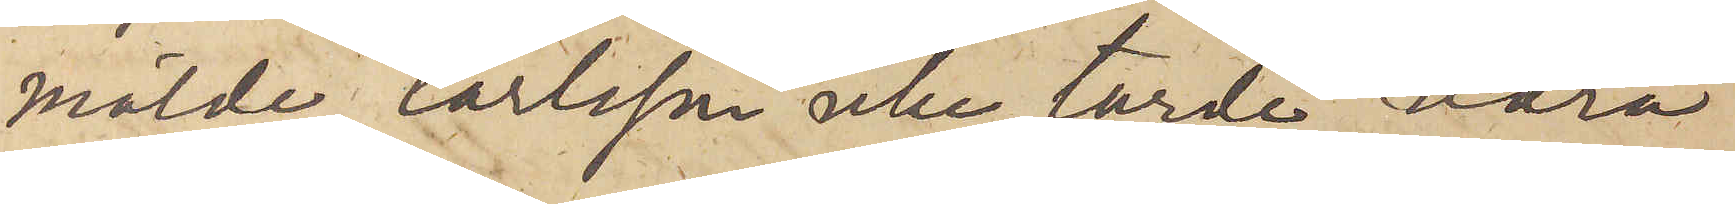mälde Carlsson icke torde vara
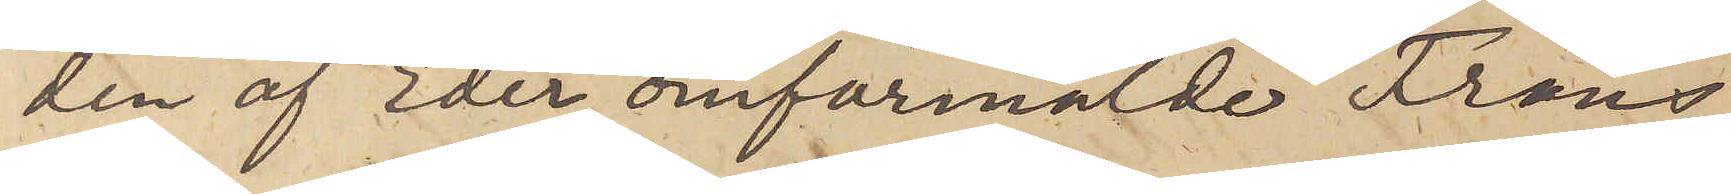den af Eder omförmälde Frans
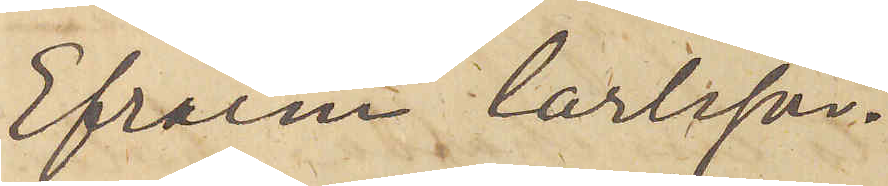Efraim Carlsson.
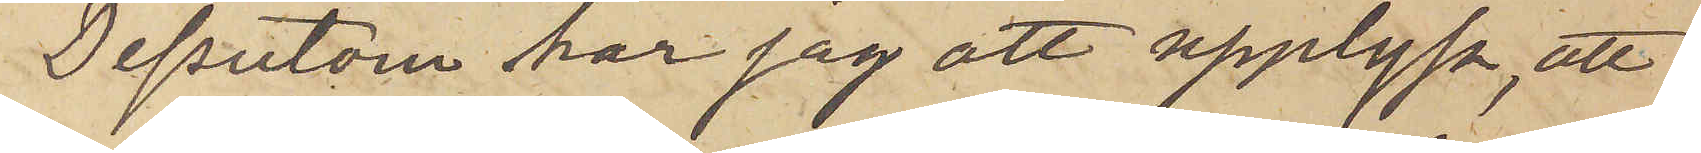Dessutom har jag att upplysa, att
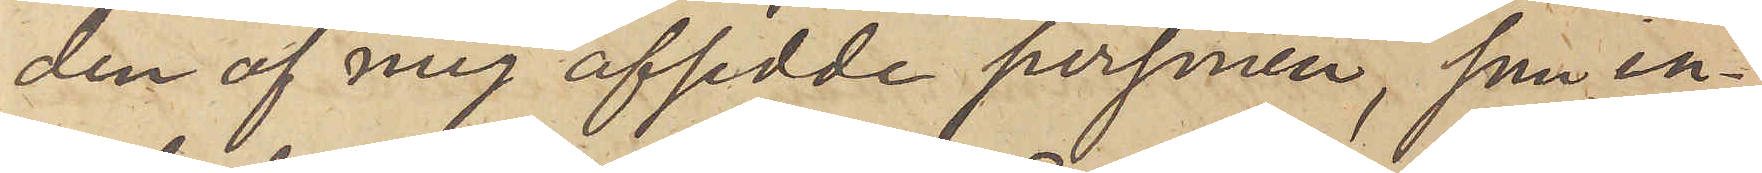den af mig afsedde personen, som in¬
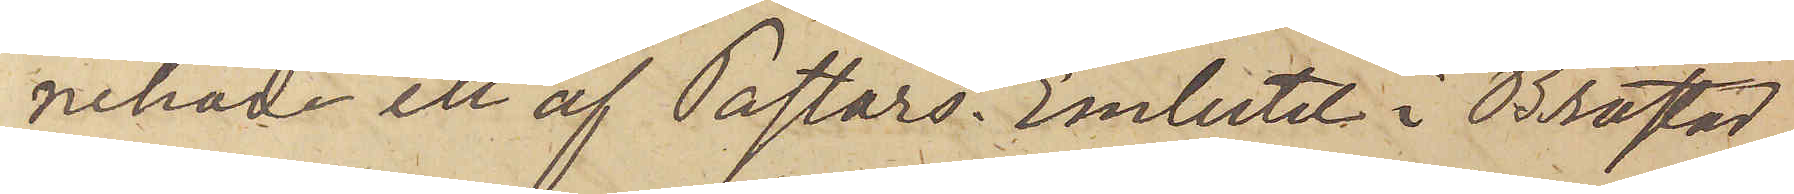nehade ett af Pastors. Embetet i Brastad
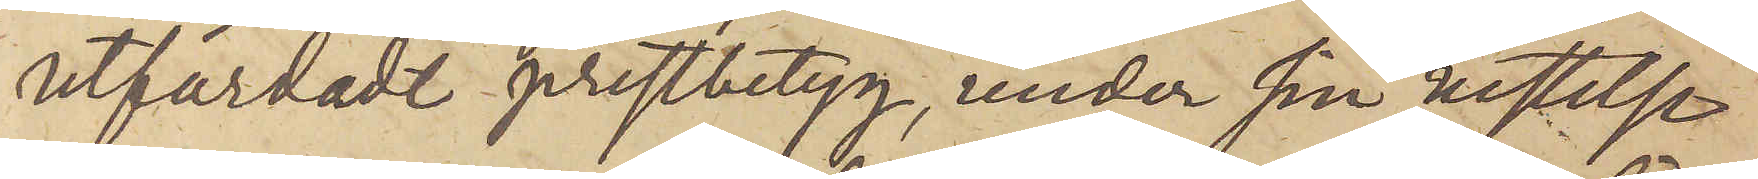utfärdadt prestbetyg, under sin vistelse
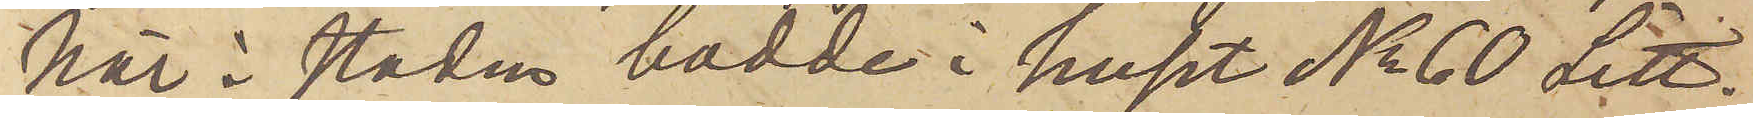här i staden bodde i huset No 60 Litt.
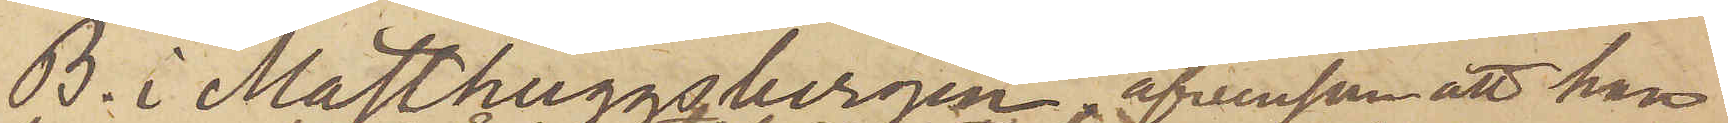B. i Masthuggsbergen äfvensom att han
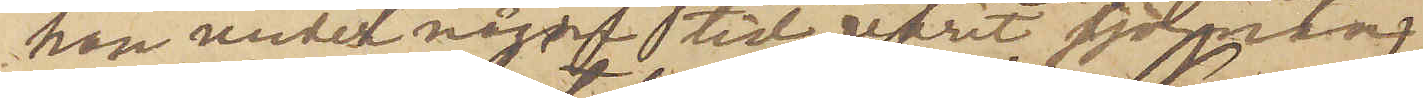han under någon tid varit sjöman.
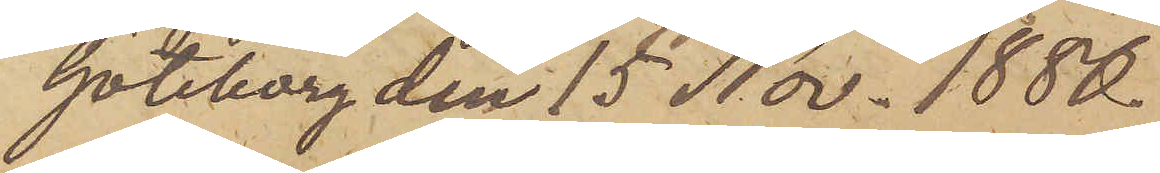Göteborg den 15 Nov. 1880.
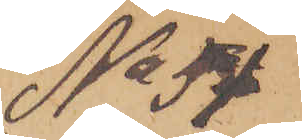No 51
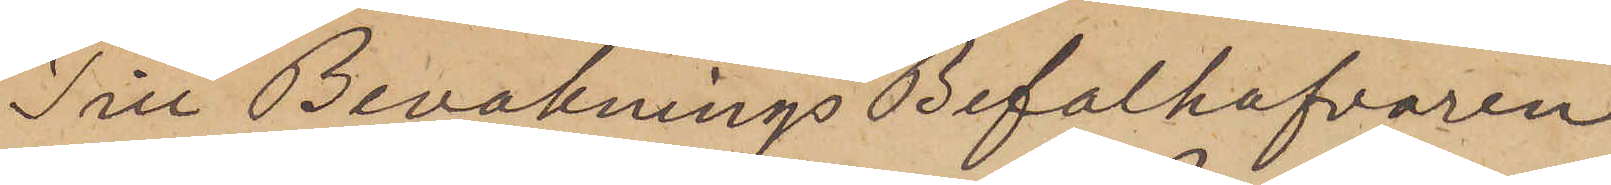Till Bevaknings Befälhafvaren
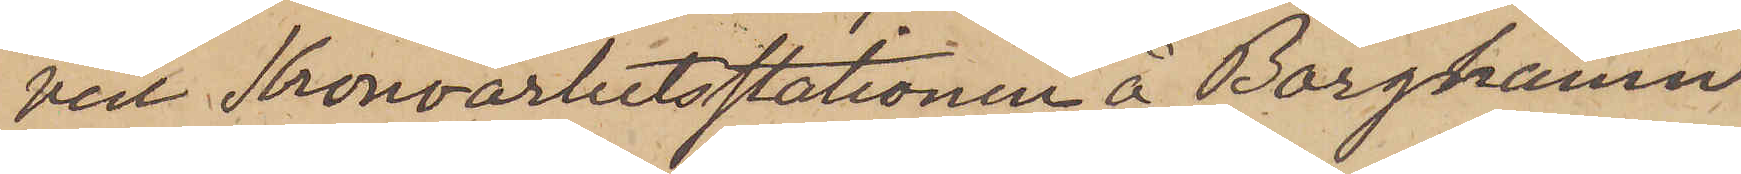vill Kronoarbetsstationen å Borghamn
